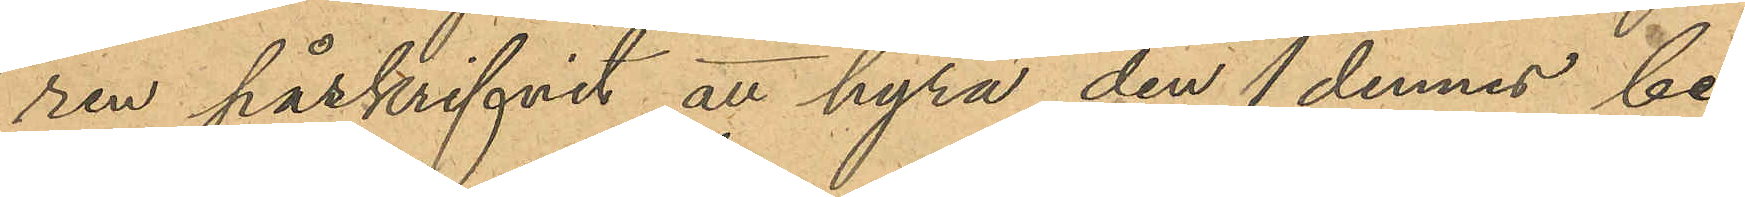ren påskrifvit att hyra den 1 dennes be¬
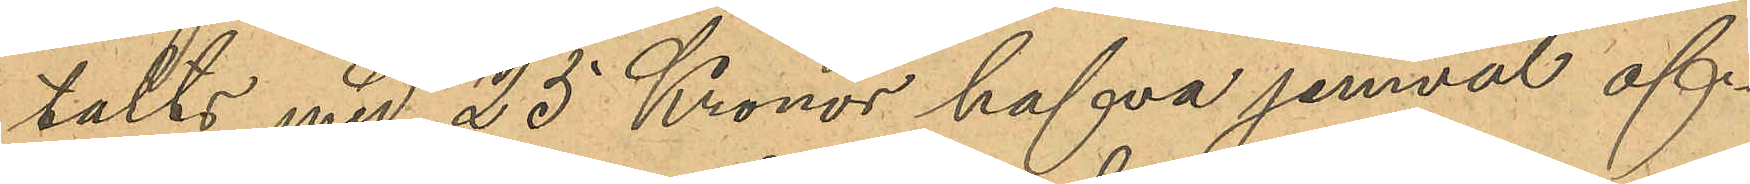talts med 25 Kronor hafva jemväl öf¬
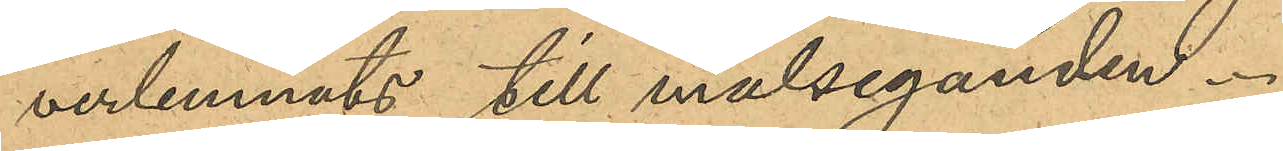verlemnats till målseganden.
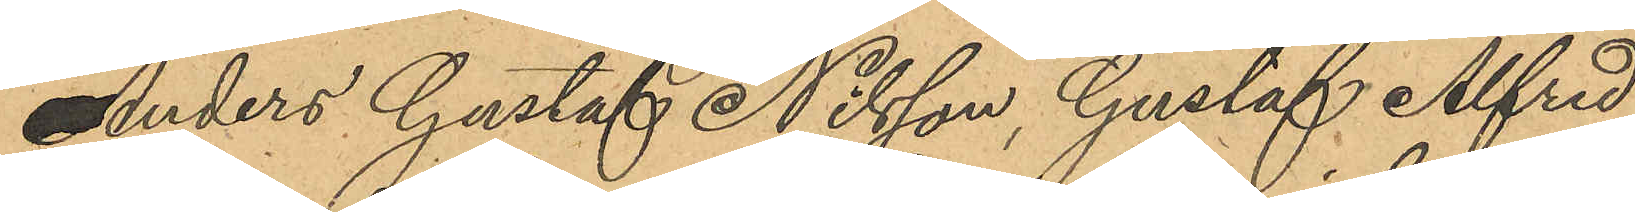Anders Gustaf Nilsson, Gustaf Alfred
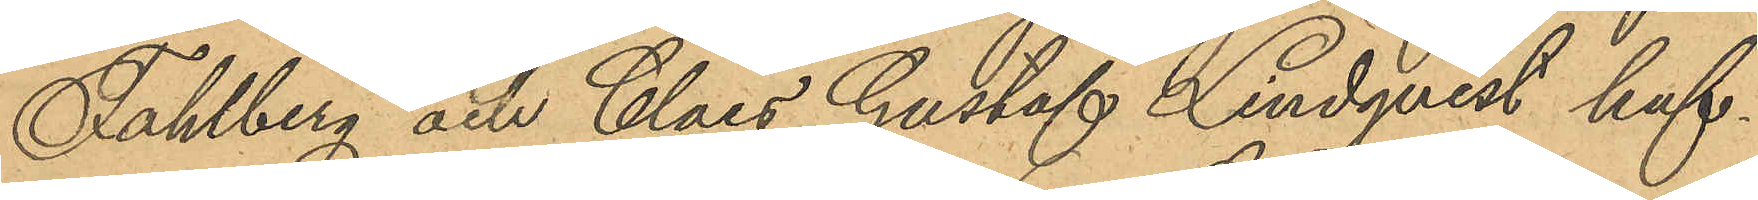Fahlberg och Claes Gustaf Lindqvist haf¬
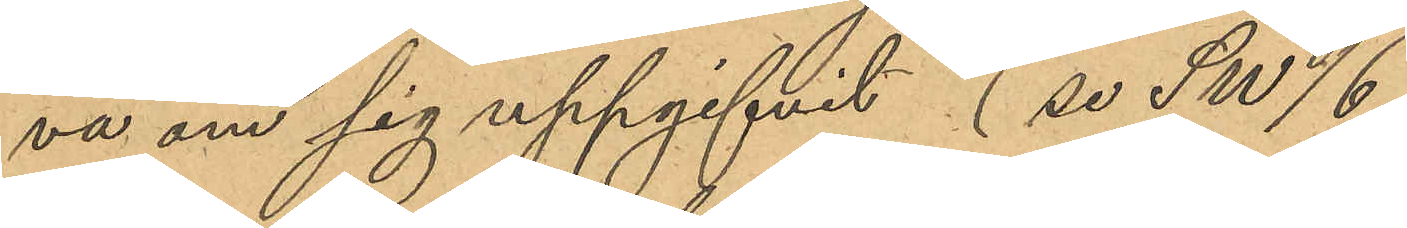va om sig uppgifvit (se SW/6
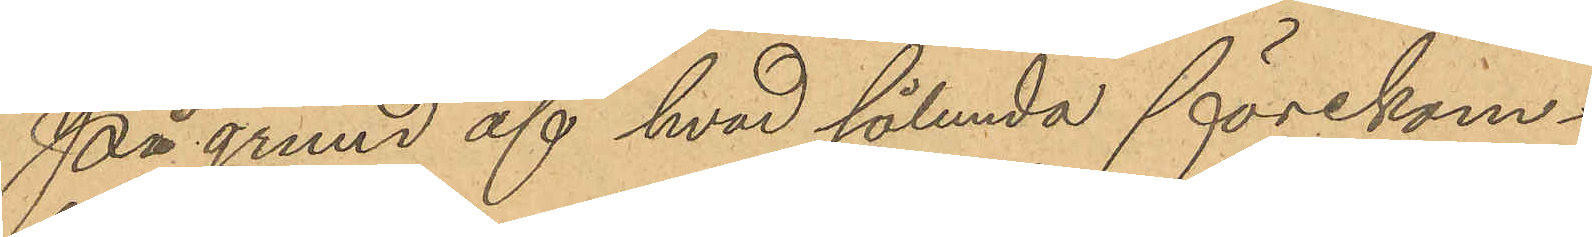På grund af hvad sålunda förekom¬
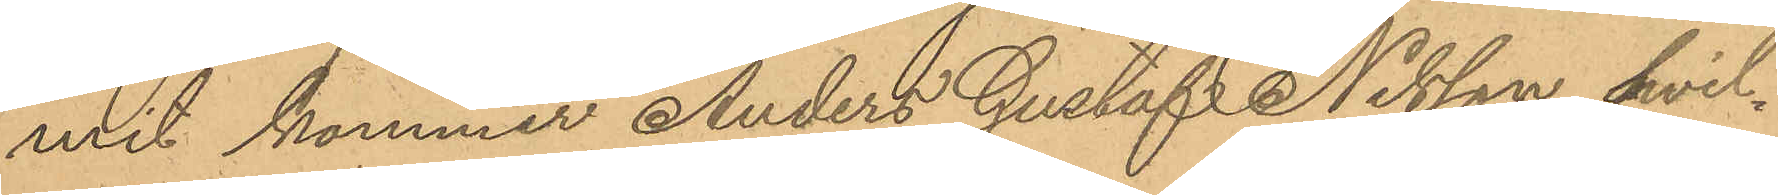mit kommer Anders Gustaf Nilsson, hvil¬
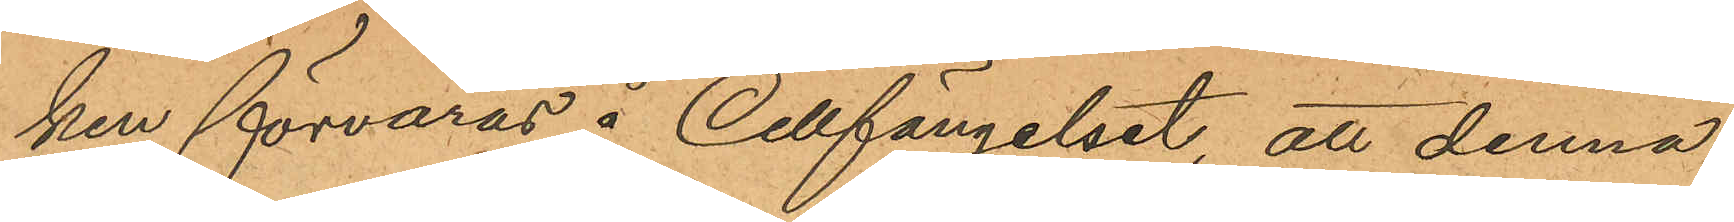ken förvaras å Cellfängelset, att denna
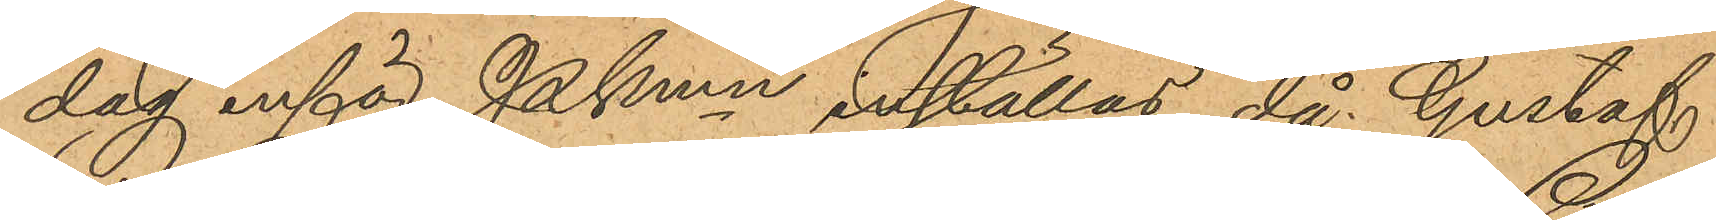dag inför Pkmn inställas, då Gustaf
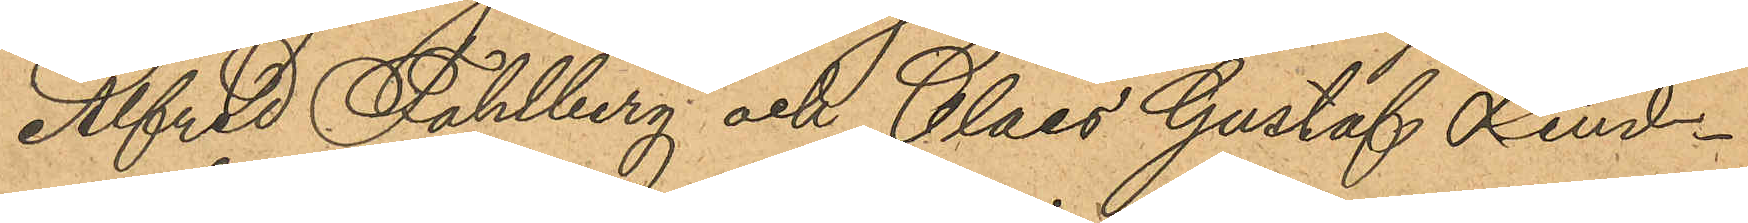Alfred Fahlberg och Claes Gustaf Lind¬
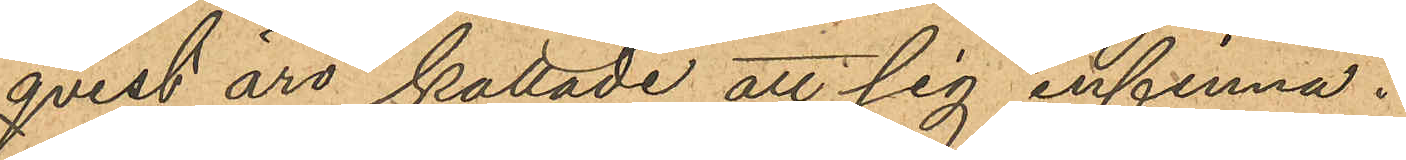qvist äro kallade att sig infinna.
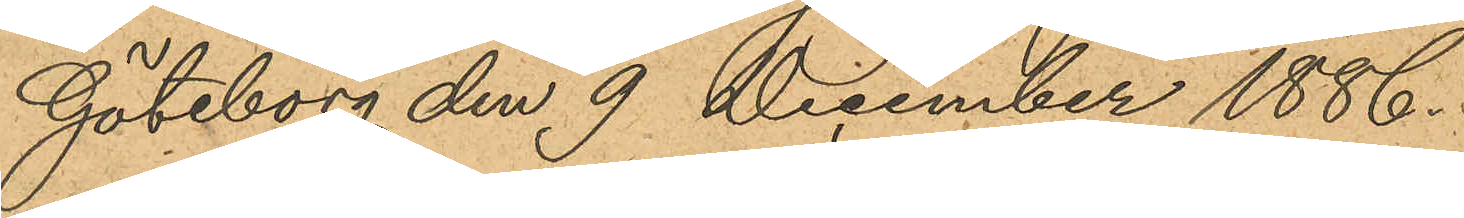Göteborg den 9 December 1886.
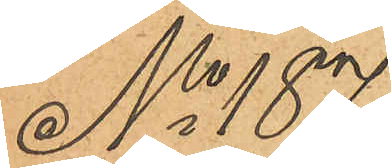No 187
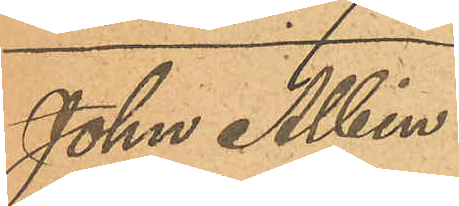Johan Albin
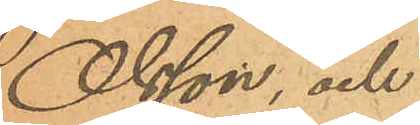Olsson, och
